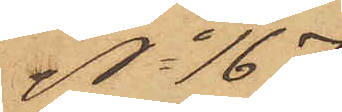No 167
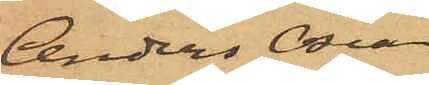Anders Oscar
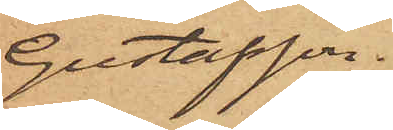Gustafson.
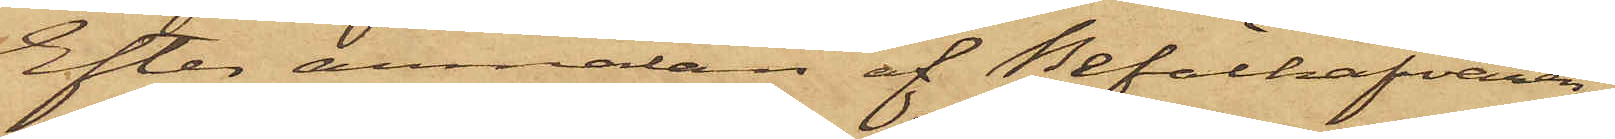Efter anmälan af Behälhafvaren
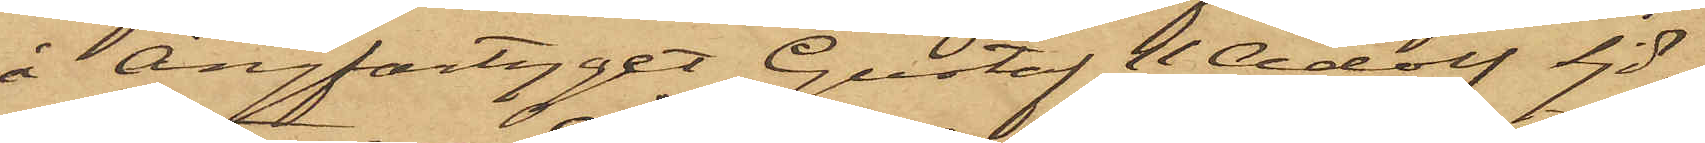å Ångfartyget Gustaf II Adolf Sjö¬
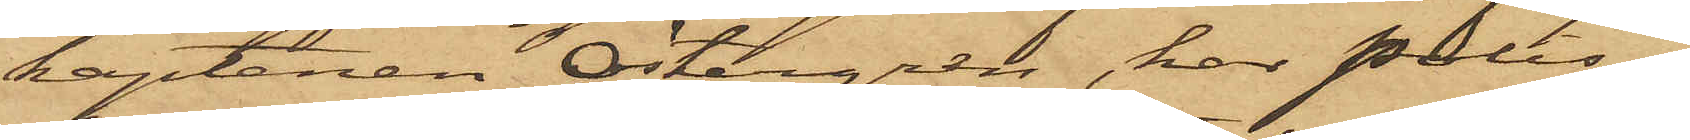kaptenen Östergren, har Polis¬
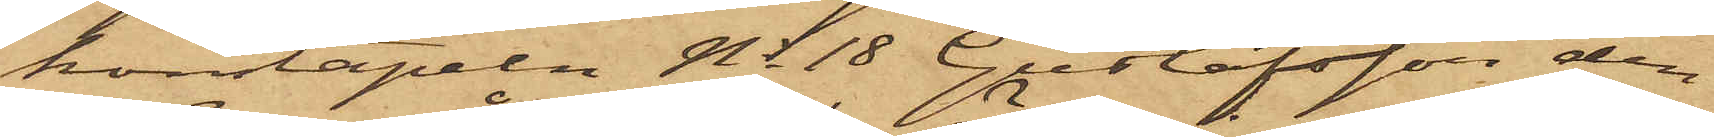konstapeln No 18 Gustafsson den
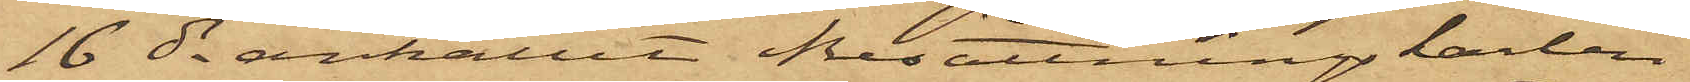16 ds anhållit Besättningkarlen
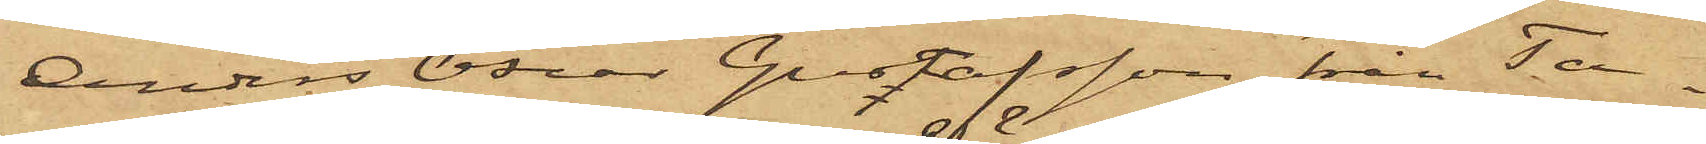Anders Oscar Gustafsson från Ta¬
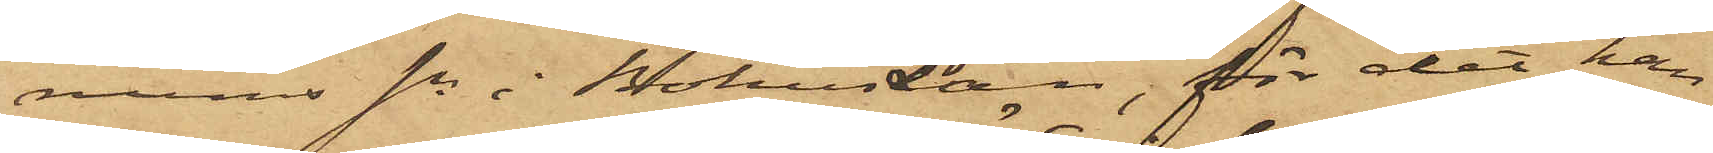nums sn i BohusLän, för det han,
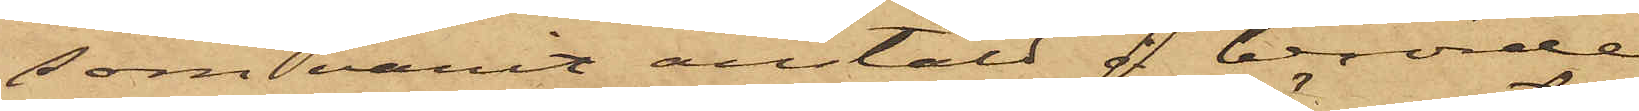som varit anstäld i berörde
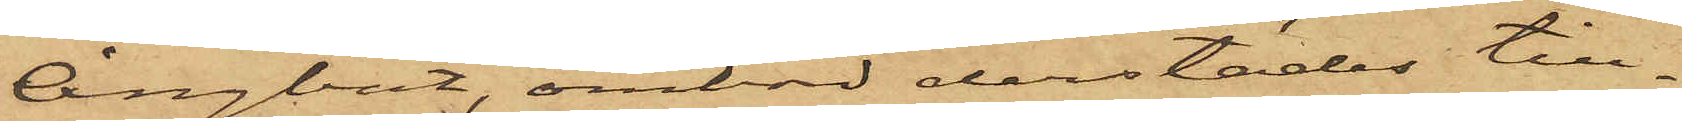Ångbåt, ombord derstädes till¬
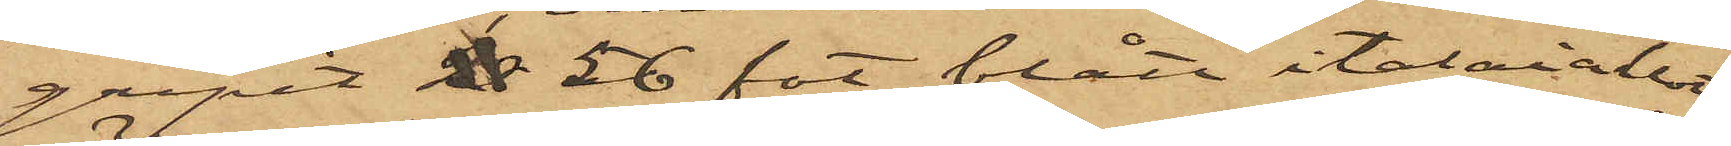gripit ℔ 56 fot blått italiaklot
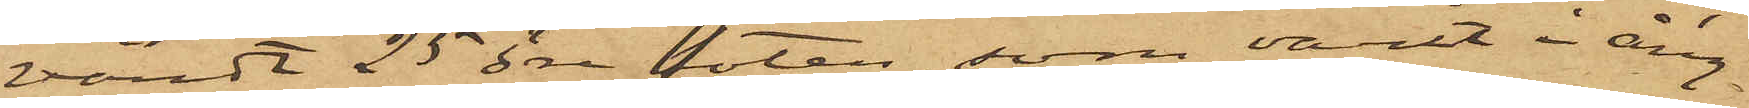värdt 25 öre foten, som varit i ång¬
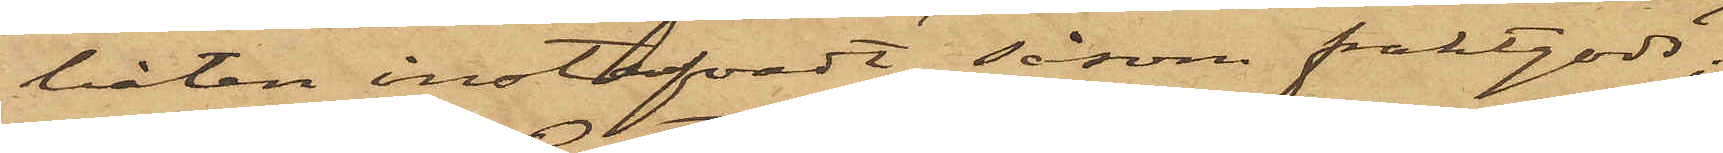båten instufvadt såsom fraktgods,
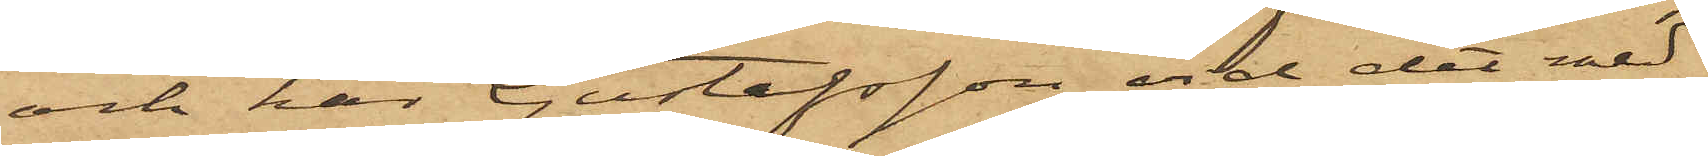och har Gustafsson vid det med
